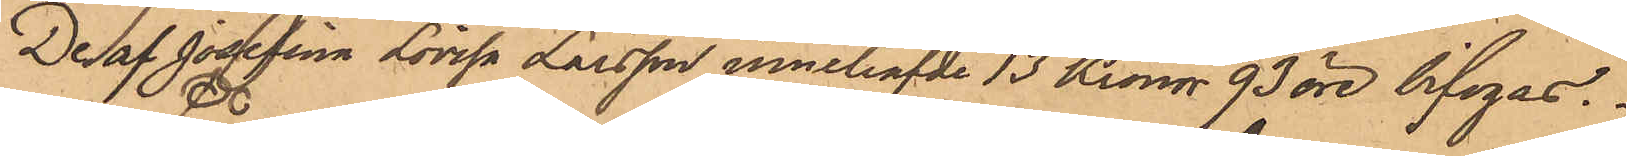De af Josefina Lovisa Larsson innehafde 13 Kronor 93 öre bifogas.
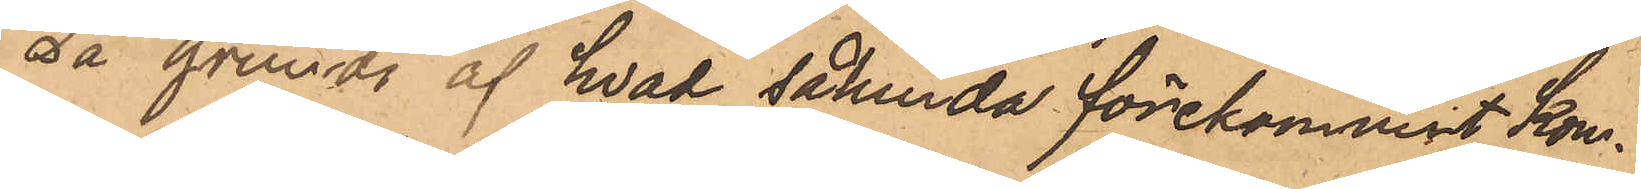På grund af hvad sålunda förekommit kom¬
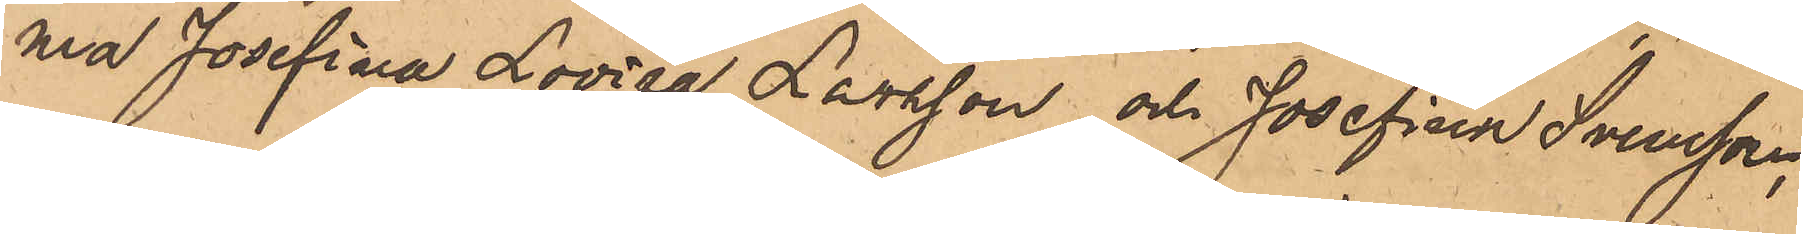ma Josefina Lovisa Larsson och Josefina Svensson,
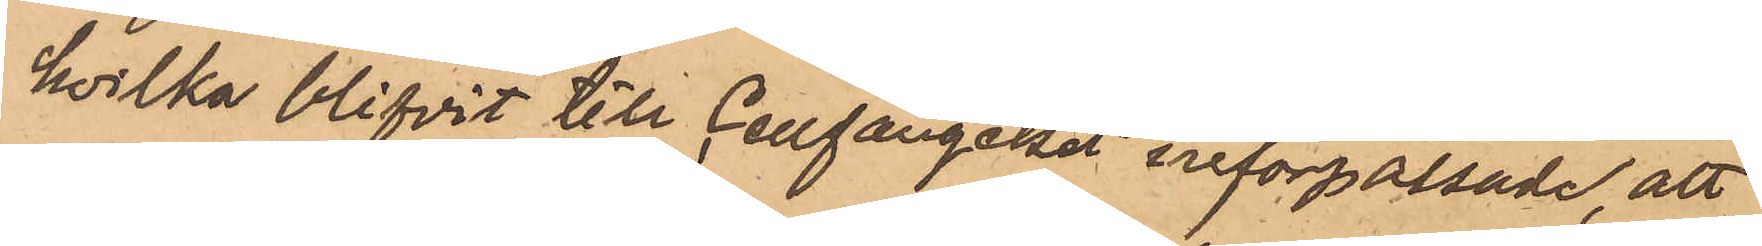hvilka blifvit till Cellfängelset införpassade, att
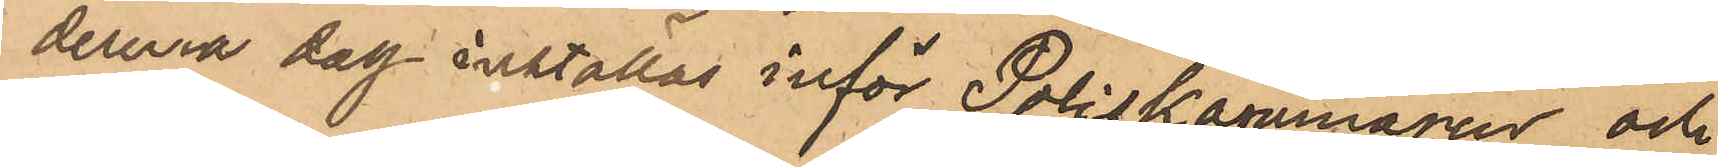denna dag inställas inför Poliskammaren, och
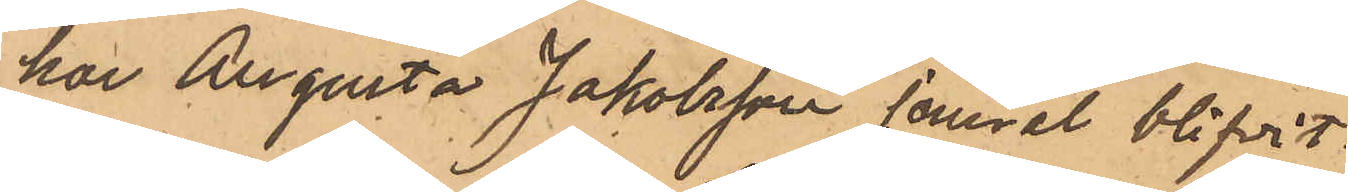har Augusta Jakobsson jemväl blifvit
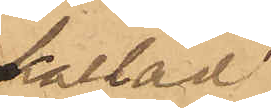kallad
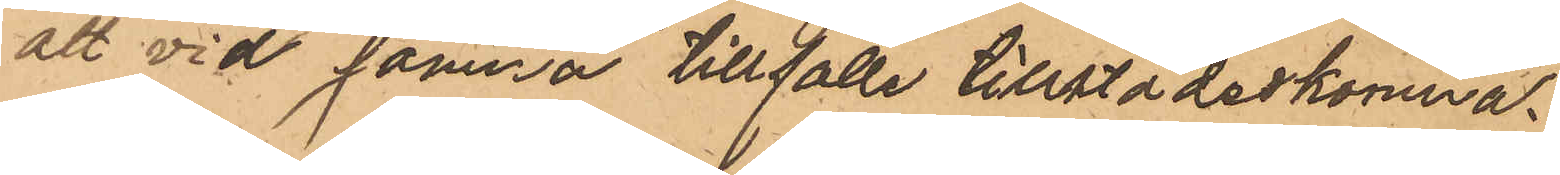att vid samma tillfälle tillstädeskomma.
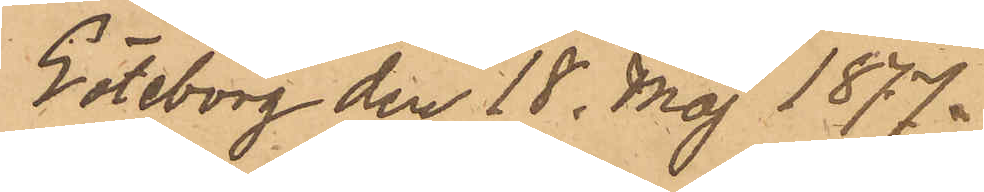Göteborg den 18 Maj 1877.
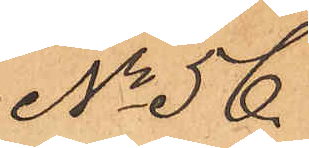No 56.
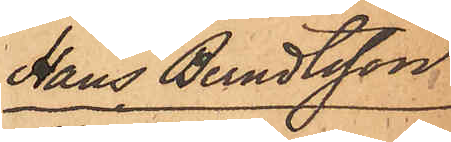Hans Berndtsson
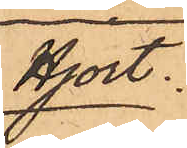Hjort.
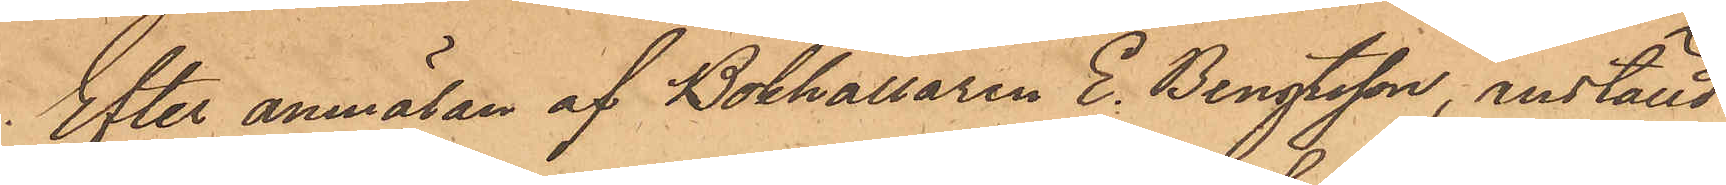Etter anmälan af Bokhållaren E. Bengtsson, anställd
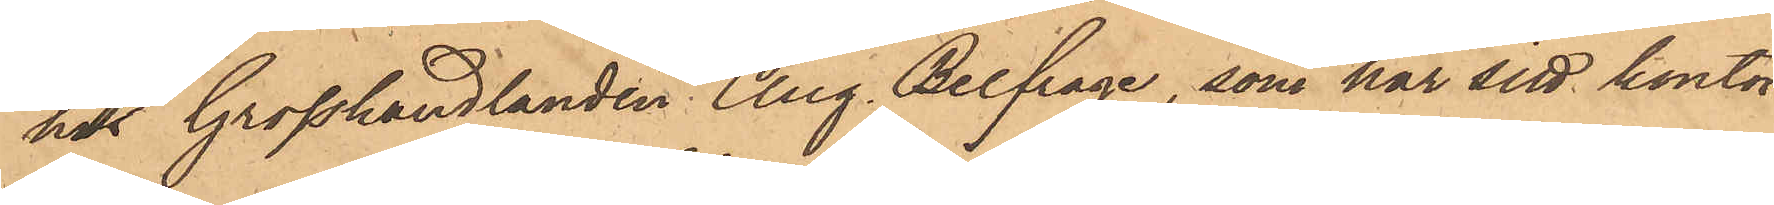hos Grosshandlanden Aug. Belfrage, som har sitt kontor
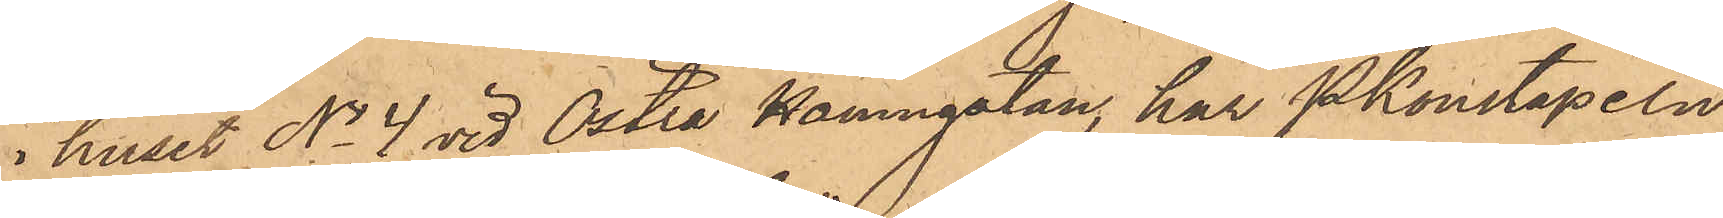i huset No 4 vid Östra Hamngatan, har Pkonstapeln
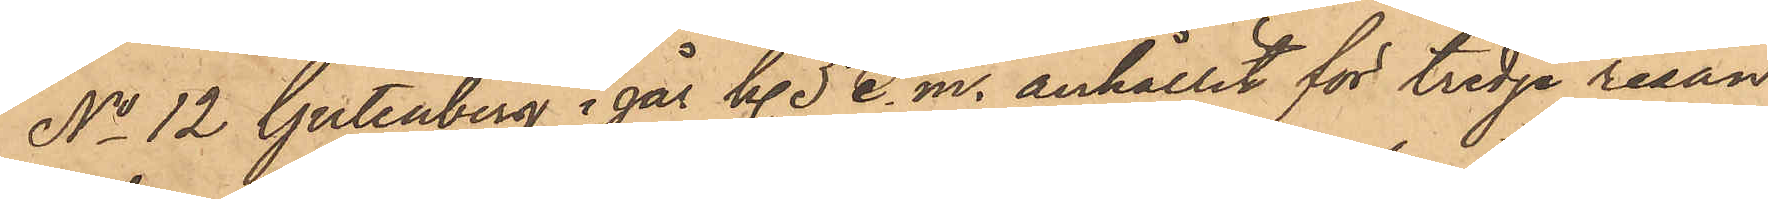No 12 Gutenberg i går Kl 5 e. m. anhållit för tredje resan
